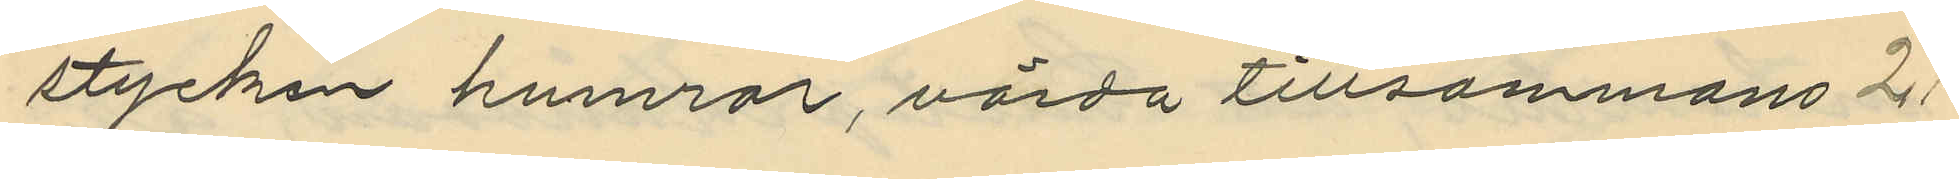stycken humrar, värda tillsammans 2
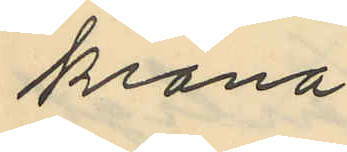krona
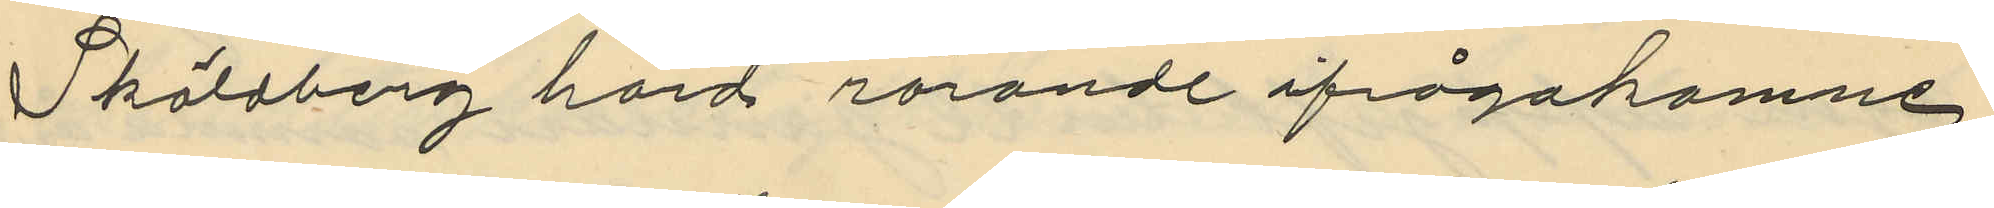Sköldberg hörd rörande ifrågakomne
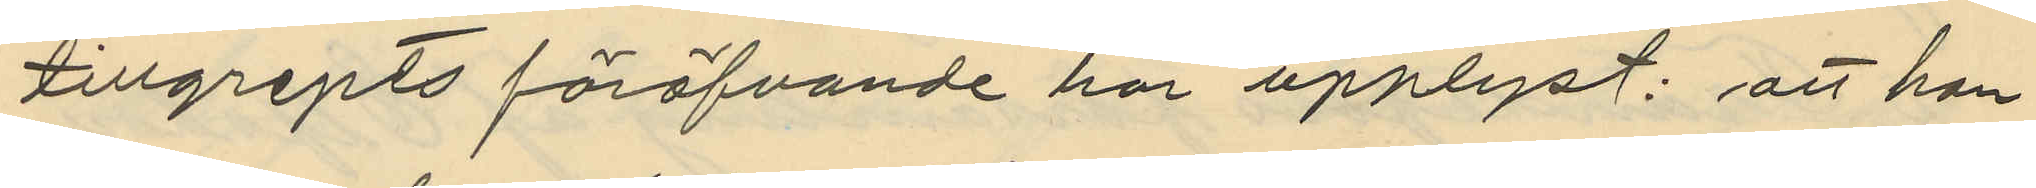tillgripts föröfvande har upplyst: att han
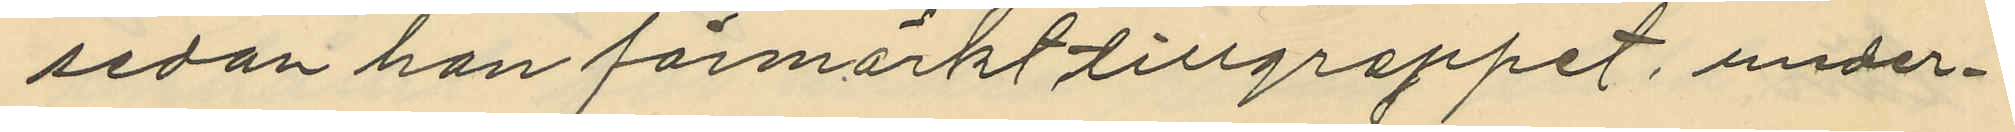sedan han förmärkt tillgreppet, under¬
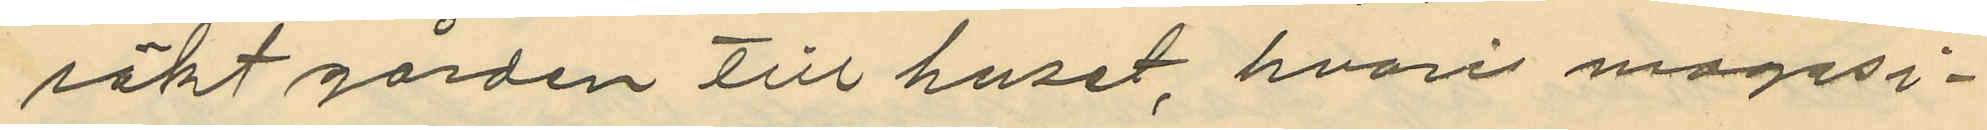sökt gården till huset, hvari magasi¬
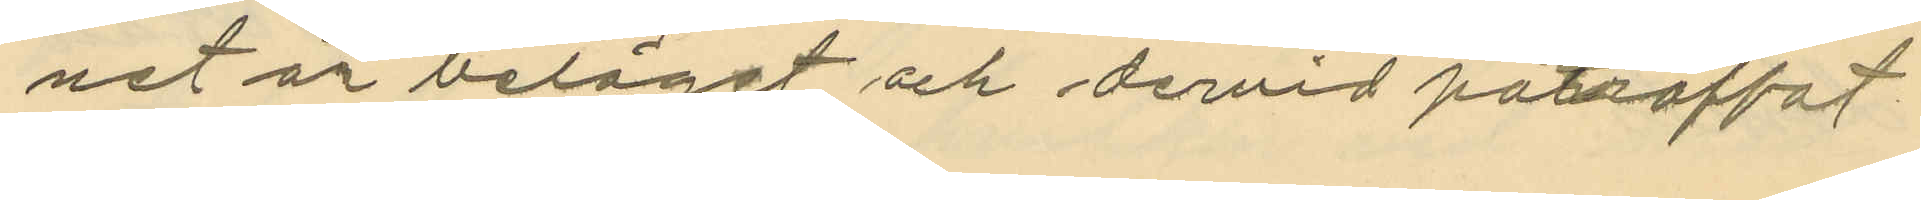net är beläget och dervid påträffat
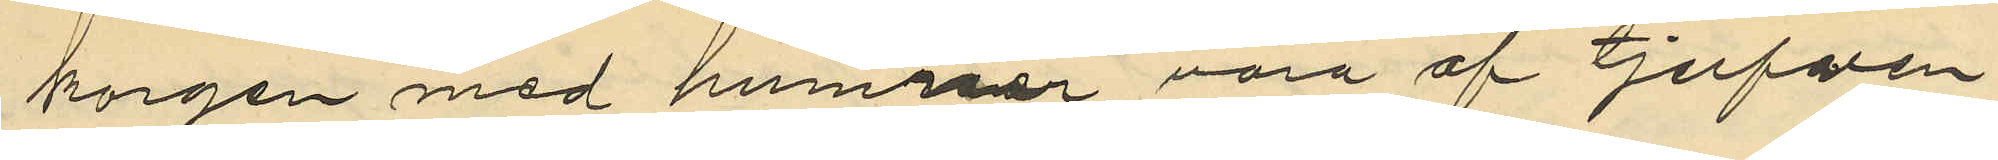korgen med humrar vara af tjufven
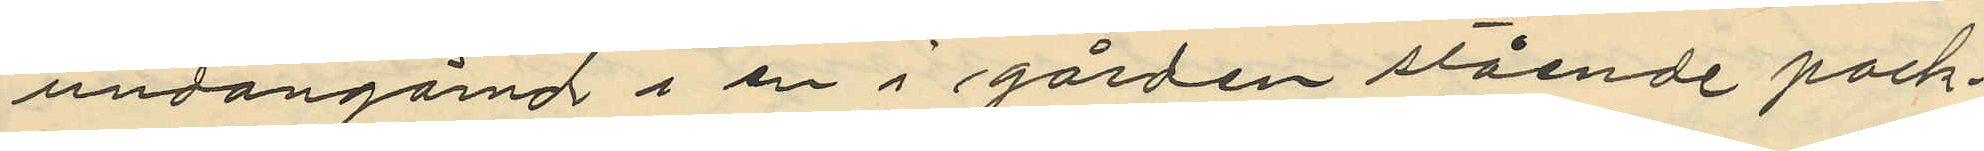undangömd i en i gården stående pack¬
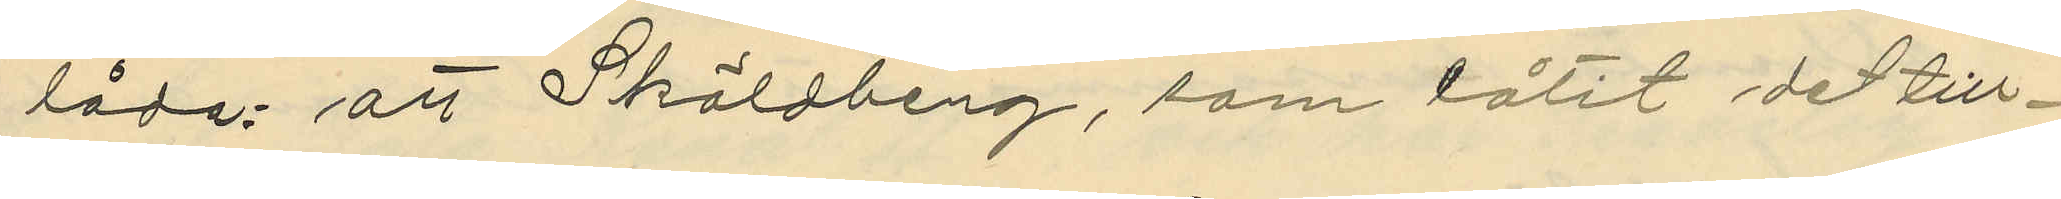låda: att Sköldberg, som låtit de till¬
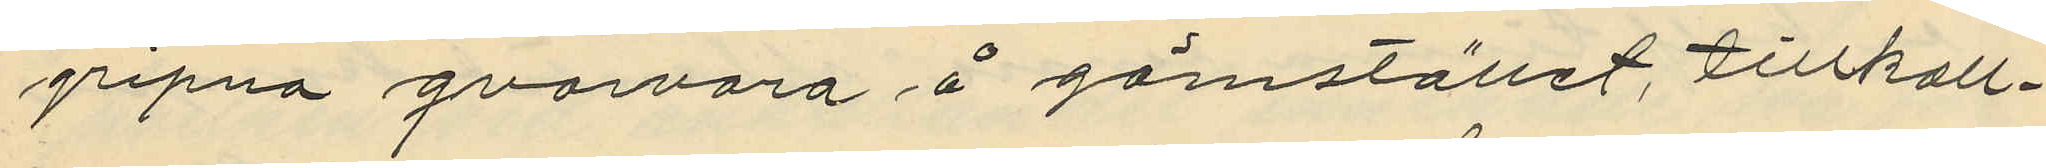gripna qvarvara å gömstället, tillkall¬
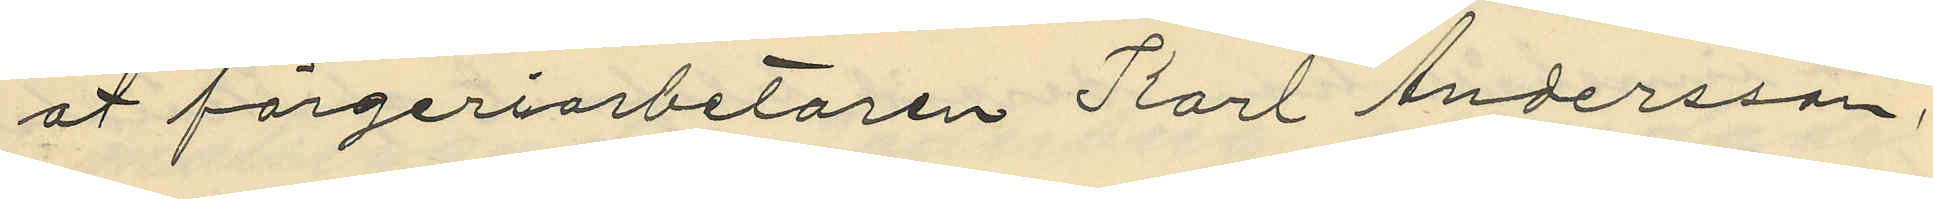at färgeriarbetaren Karl Andersson,
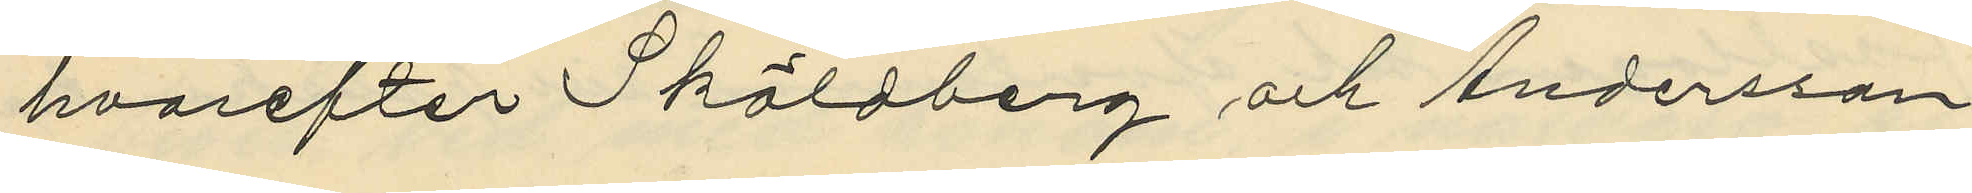hvarefter Sköldberg och Andersson
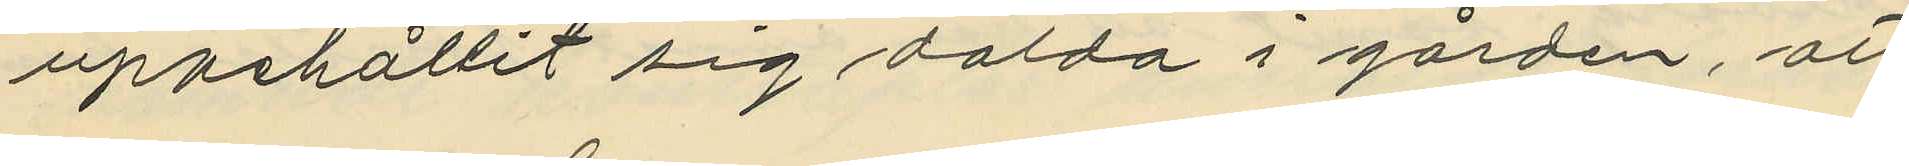uppehållit sig dolda i gården, att
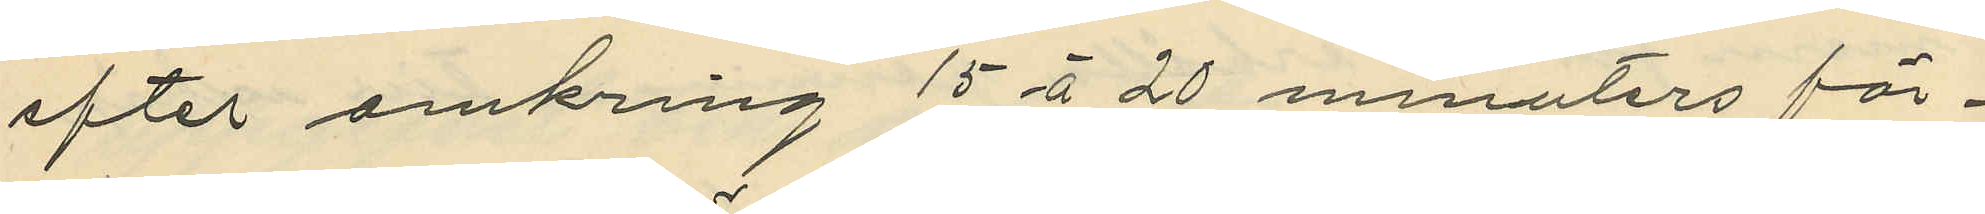efter omkring 15 á 20 minnters för¬
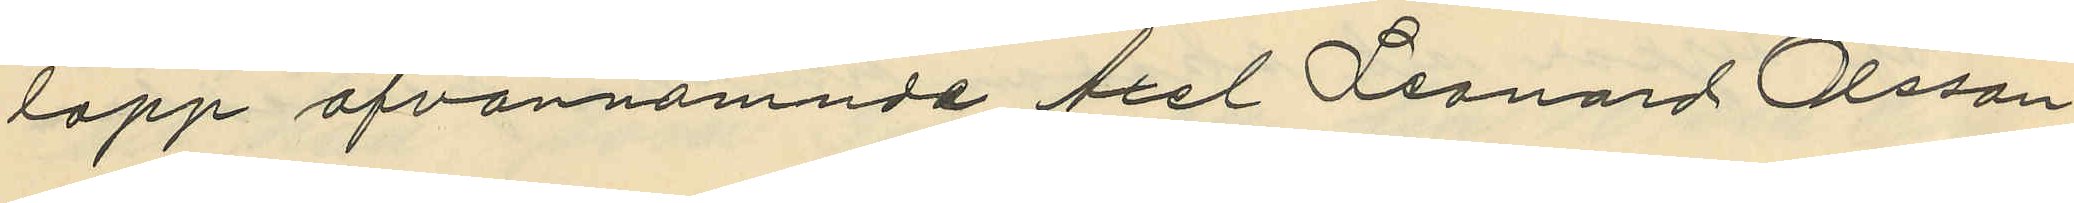lopp ofvannämnde Axel Leonard Olsson
